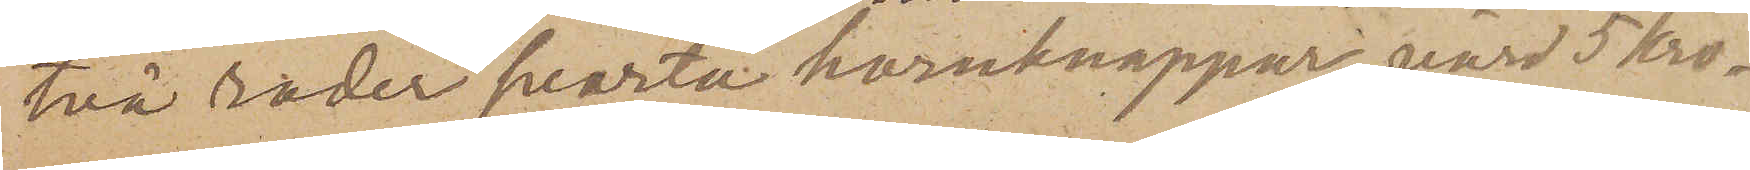två rader svarta hornknappar, värd 5 Kro¬
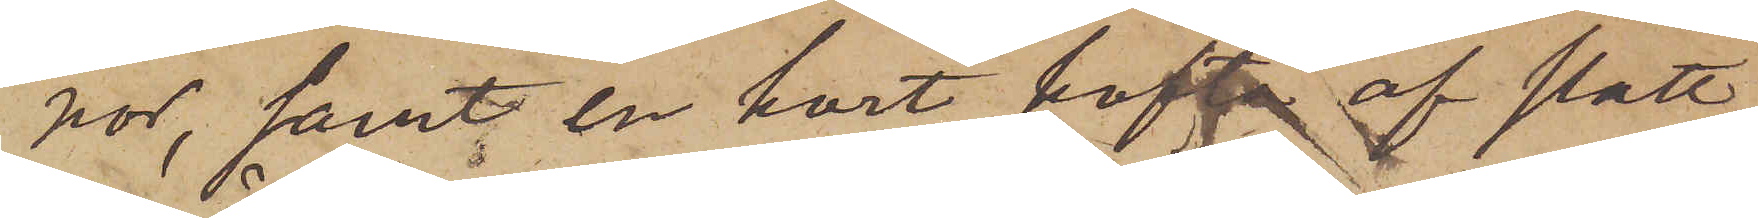nor, samt en kort kofta af slätt,
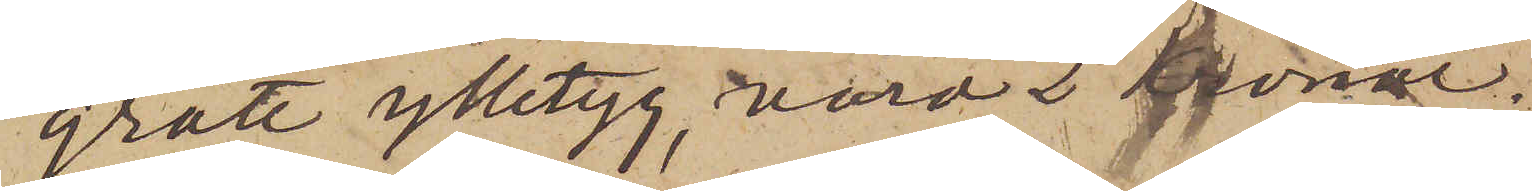grått ylletyg, värd 2 kronor.
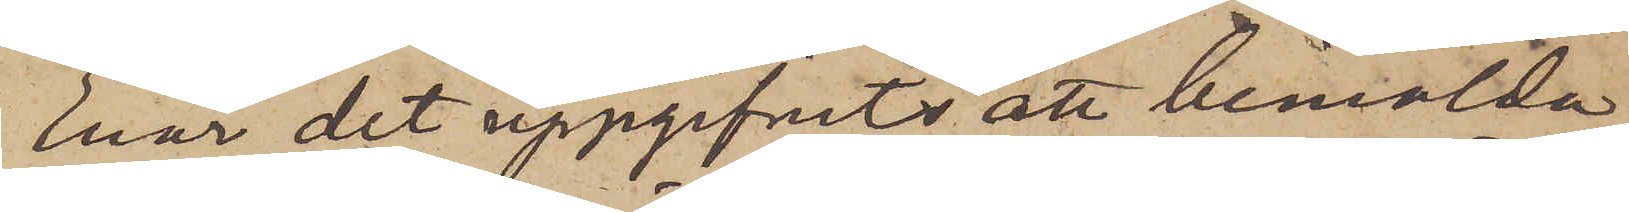Enär det uppgifvits att bemälda
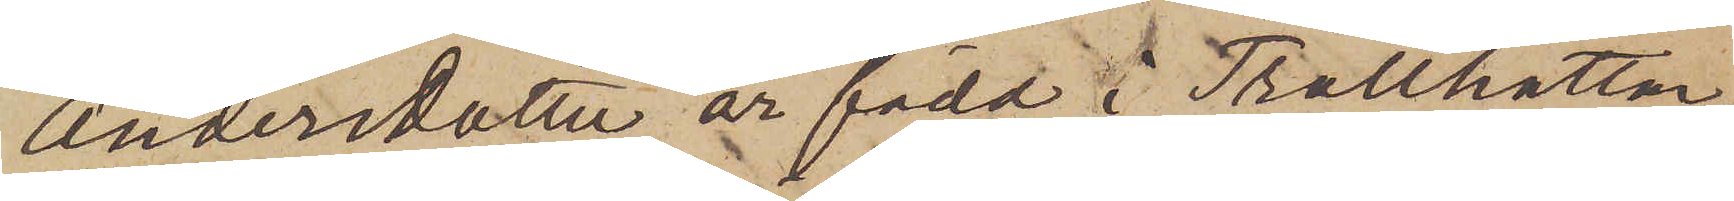Andersdotter är född i Trollhättan,
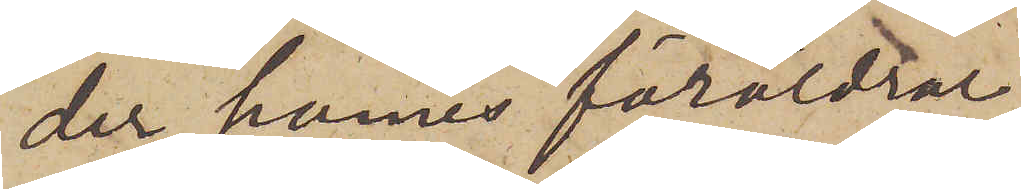der hennes föräldrar
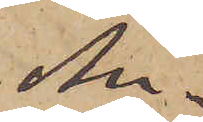An¬
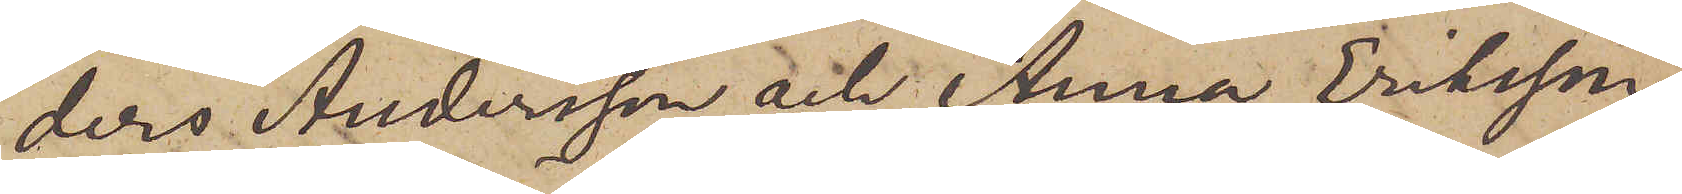ders Andersson och Anna Eriksson,
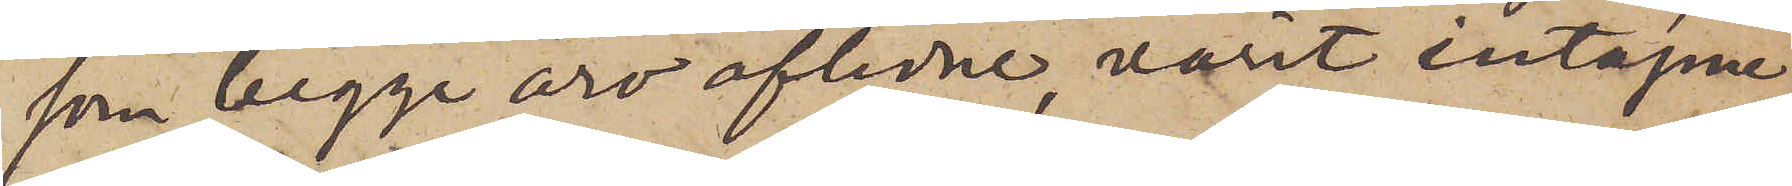som begge äro aflidne, varit intagne
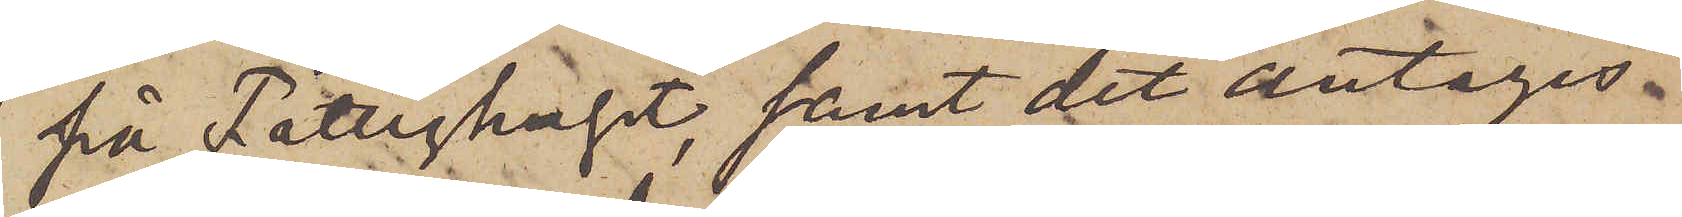på Fattighuset, samt det antages,
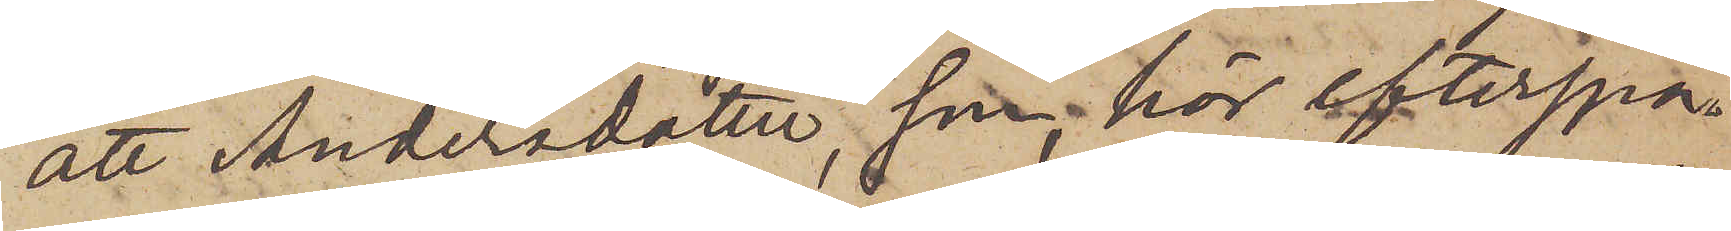att Andersdotter, som, här efterspa¬
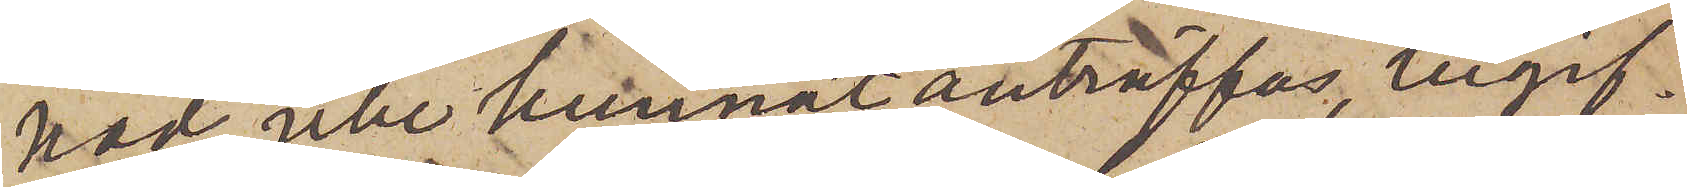nad, icke kunnat anträffas, begif¬
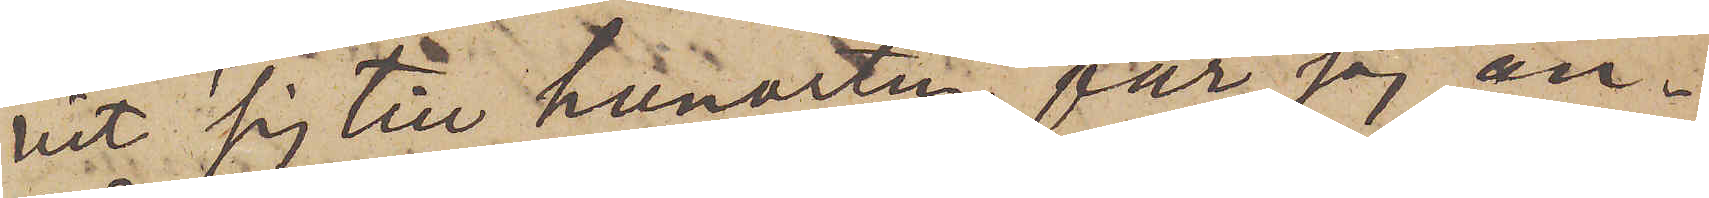vit sig till hemorten, får jag an¬
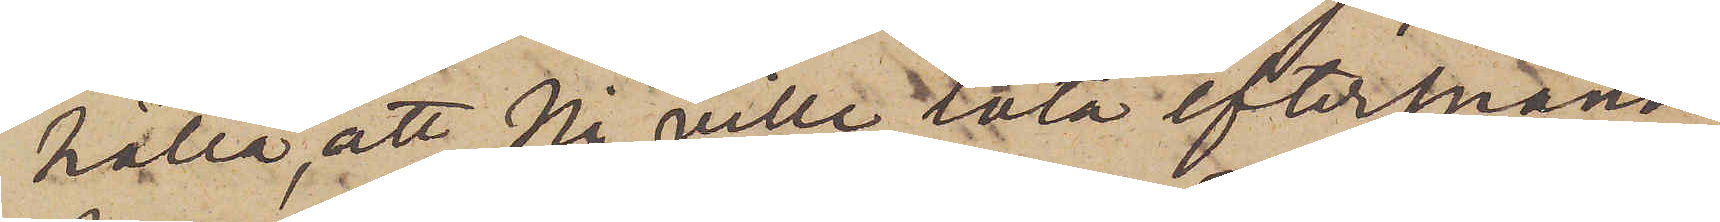hålla, att Ni ville låta efterspana
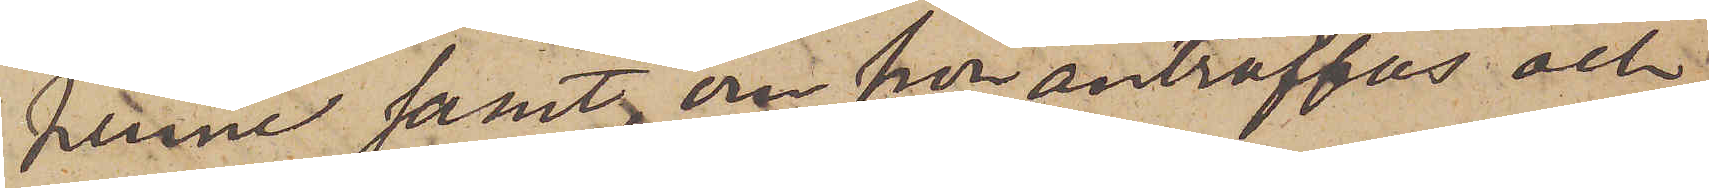henne samt, om hon anträffas och
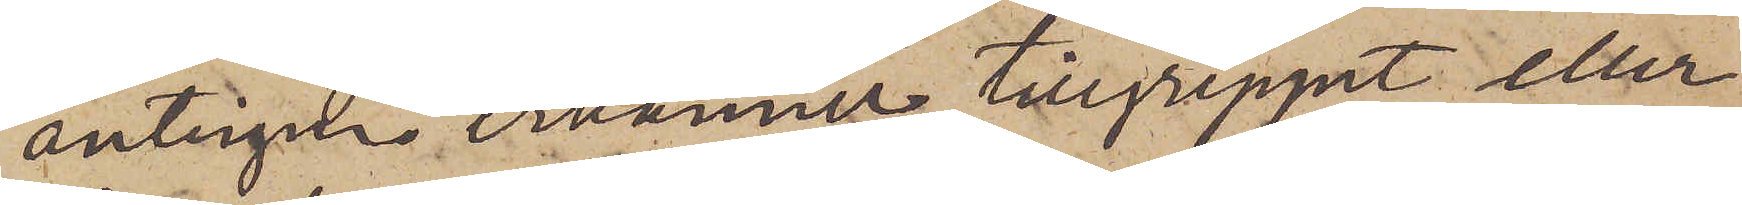antingen erkänner tillgreppet eller
